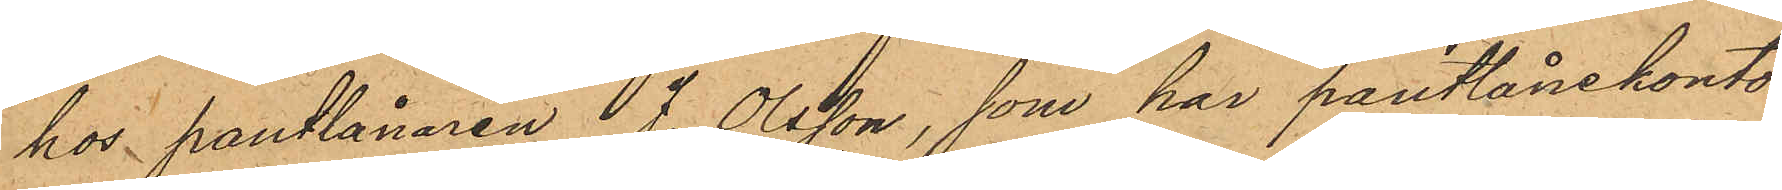hos pantlånaren J. Olsson, som har pantlånekontor
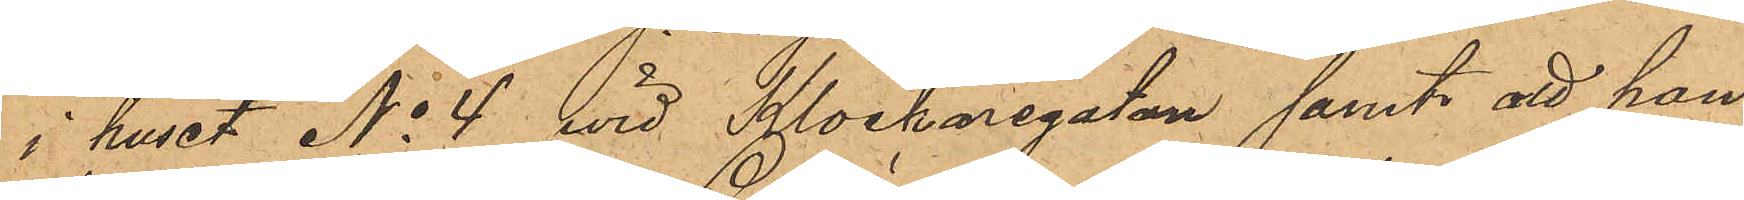i huset No 4 wid Klockaregatan samt att han
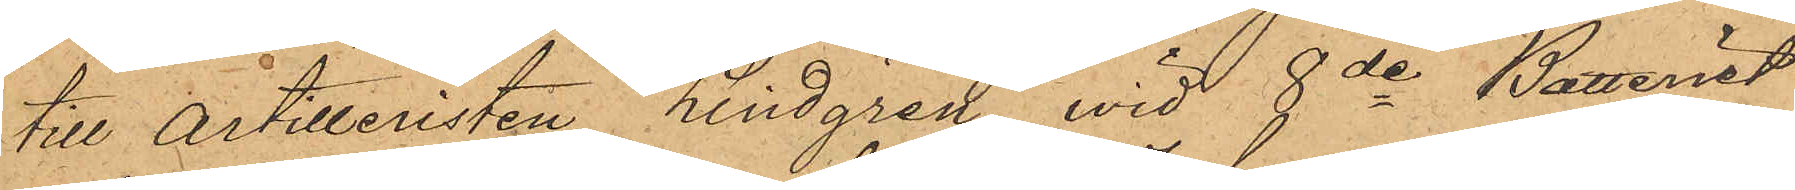till Artilleristen Lindgren wid 8de Batteriet
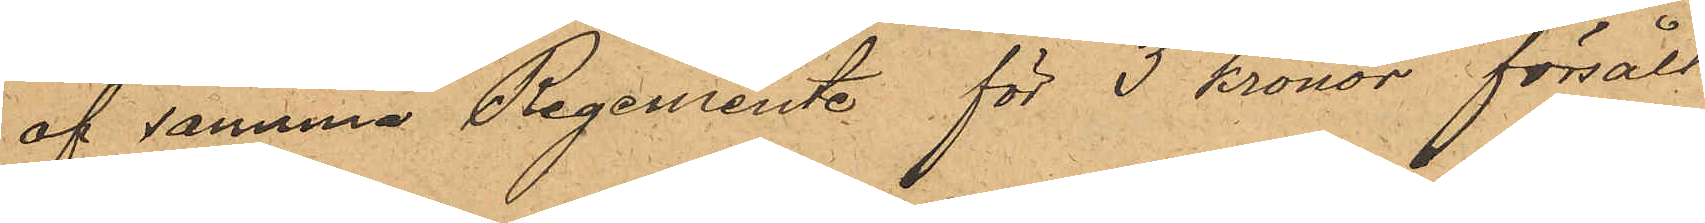af samma Regemente för 3 kronor försålt
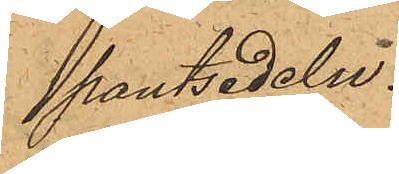pantsedeln.
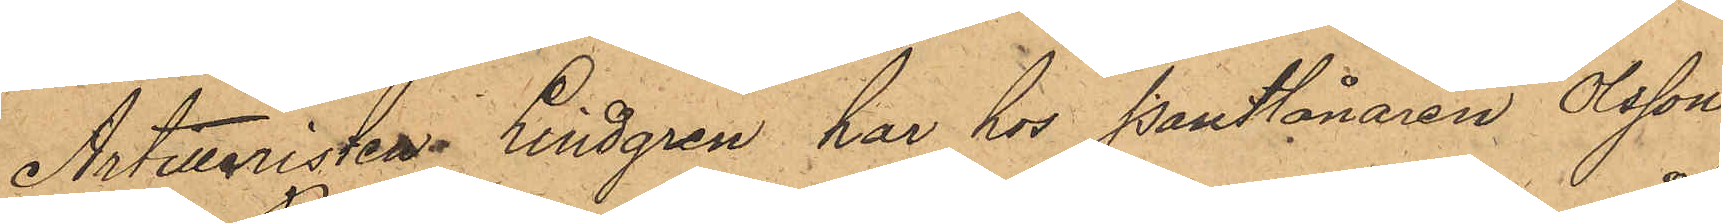Artilleristen Lindgren har hos Pantlånaren Olsson
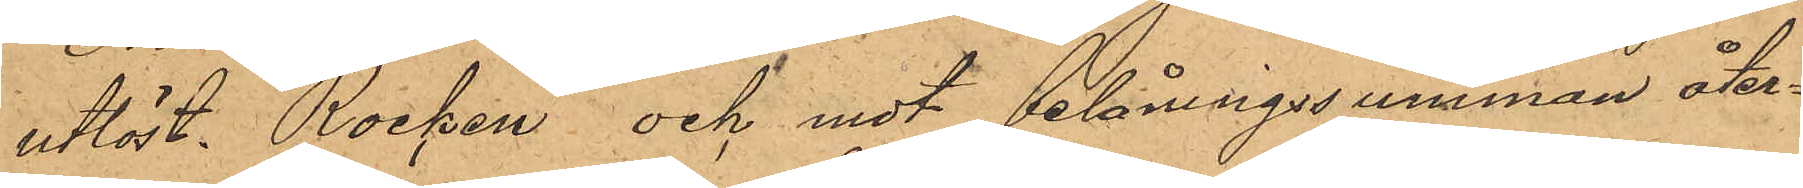utlöst Rocken och mot belåningssumman åter¬
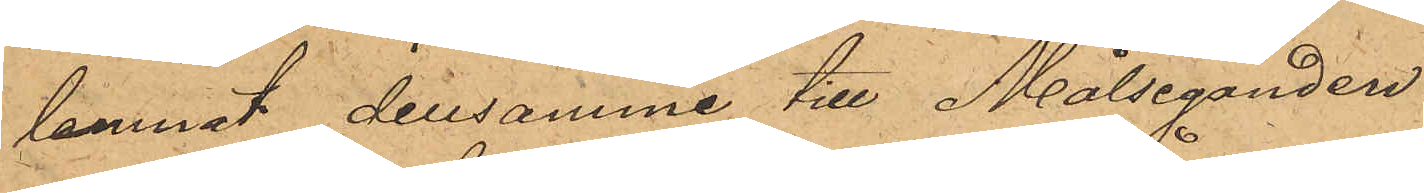lemnat densamme till Målseganden.
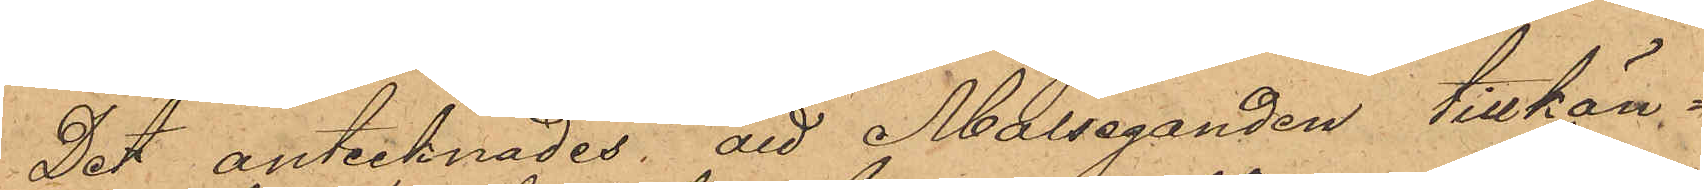Det antecknades, att Målseganden tillkän¬
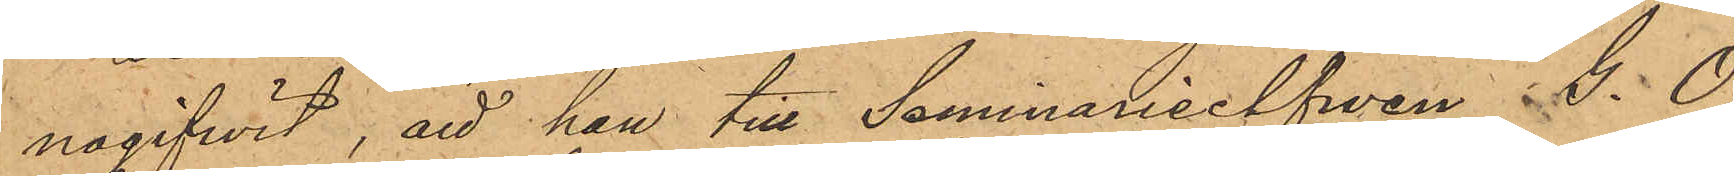nagifwit, att han till Seminarieelefwen G. O.
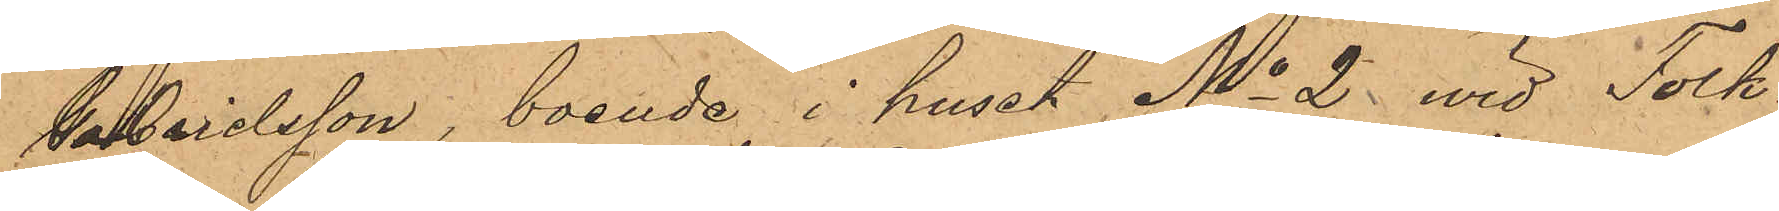Gabrielsson, boende i huset No 2 vid Folk¬
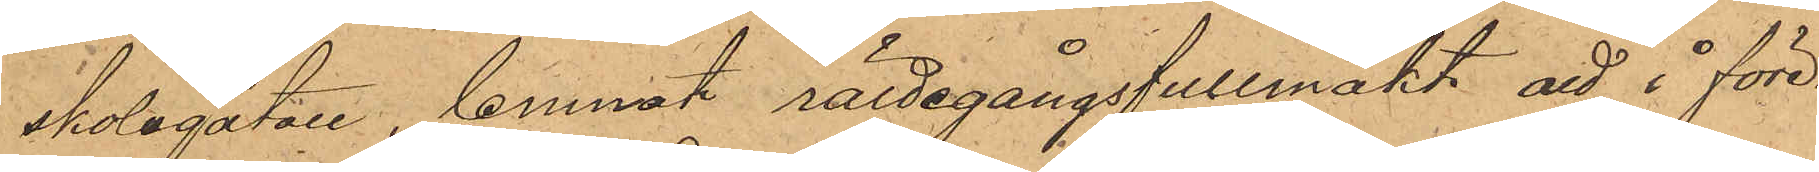skolegatan, lemnat rättegångsfullmakt, att i före¬
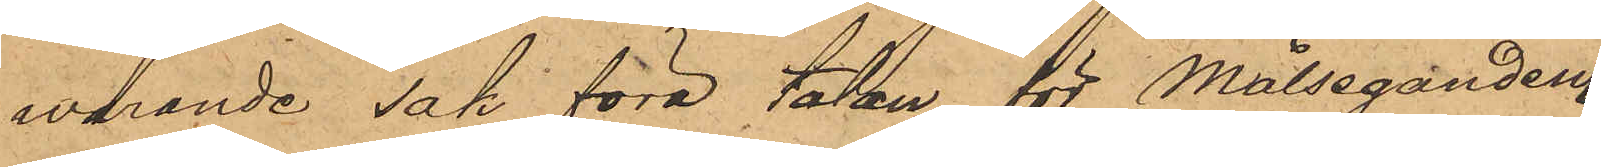varande sak föra talen för Målseganden.
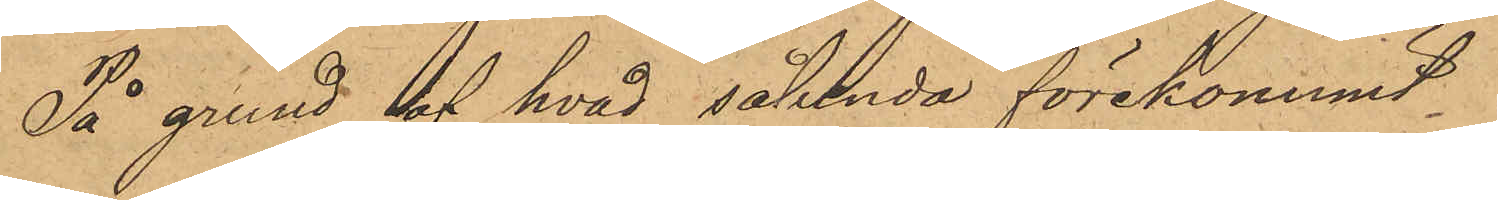På grund af hvad sålunda förekommit etc.
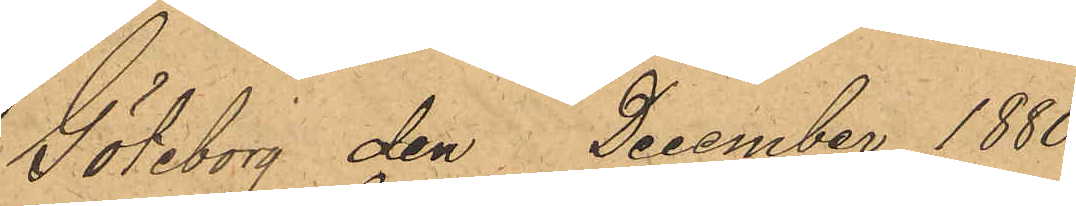Göteborg den December 1880.
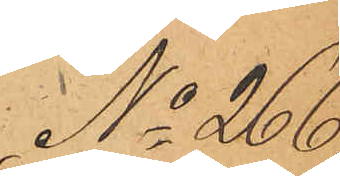No 266.
